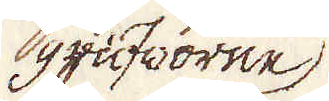grufworne
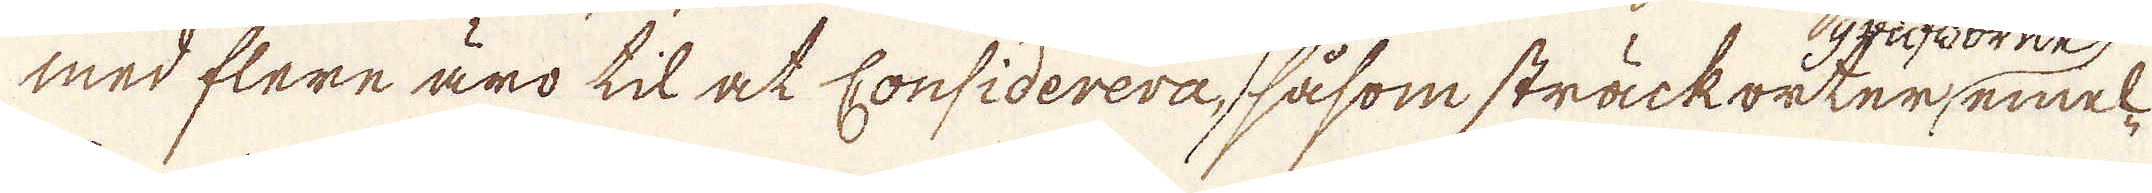med flere äro til at considerera, såsom sträckorter, emmel-
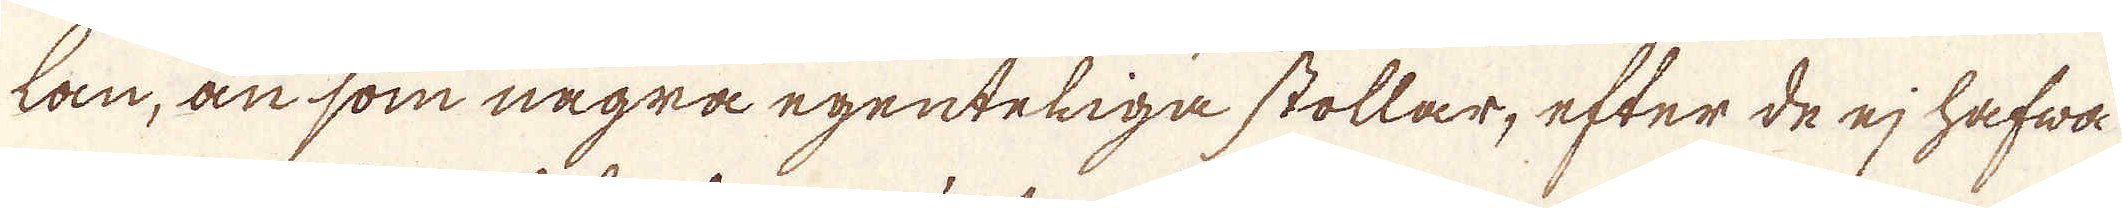lan, än som några egenteliga stollar, efter de ej hafwa
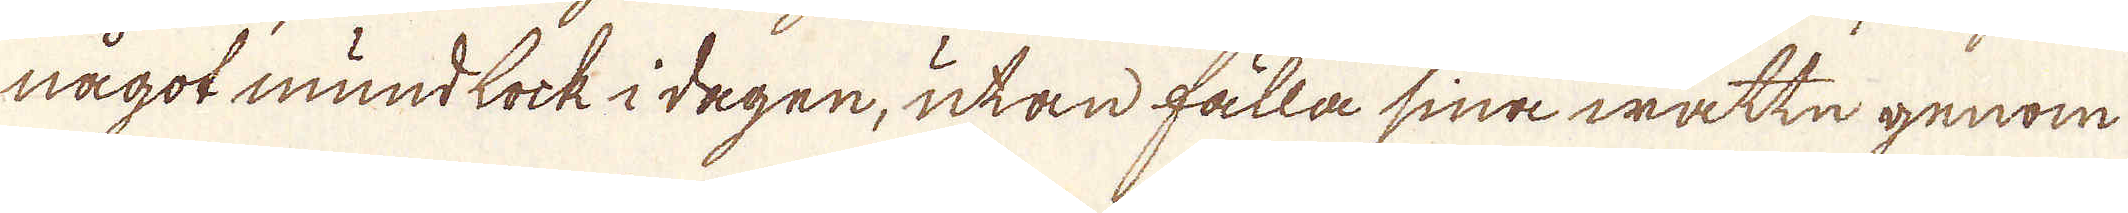något mundlock i dagen, utan fälla sina wattn genom
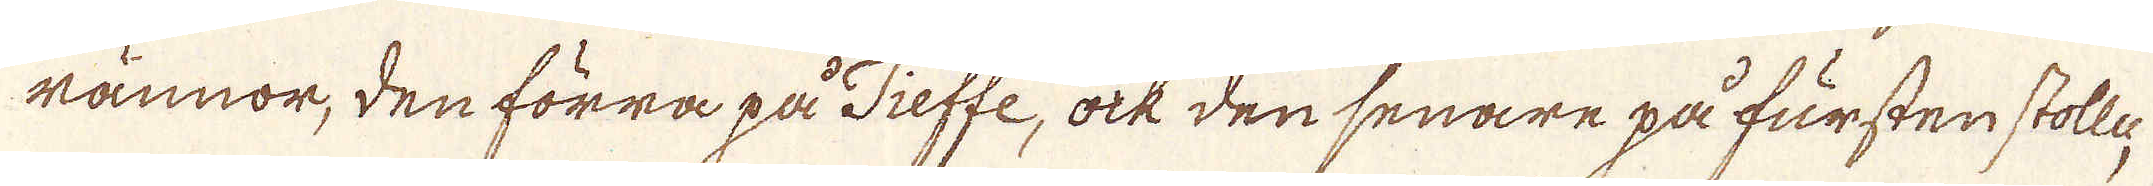rännor, den förra på Tieffe, ock den senare på fursten stolle,
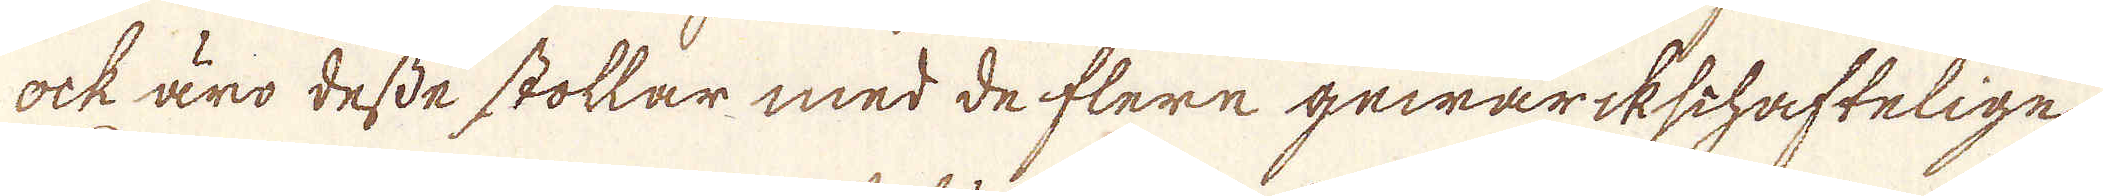ock äro desse stollar med de flere gewärkschaftelige.
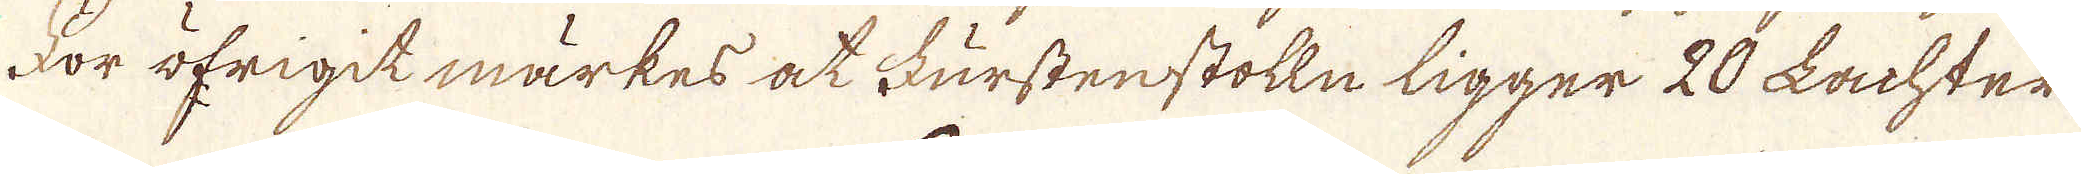För öfrigit märkes at Furstenstolln ligger 20 Lachter
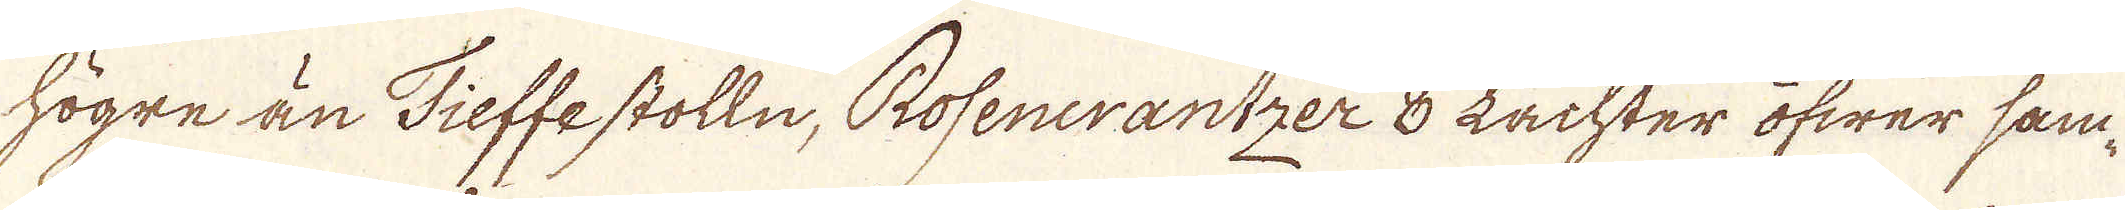högre än Tieffe stolln, Rosenerantzer 8 Lachter öfwer sam-
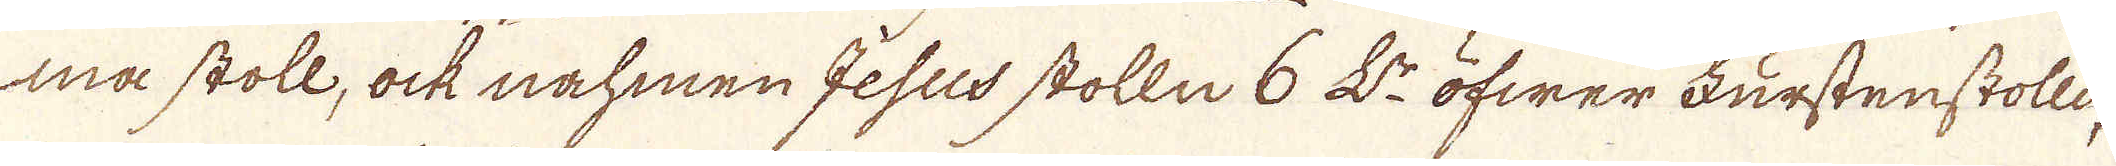må stoll, ock nahmen Gesus stolln 6 L:r öfwer Furstenstolle,
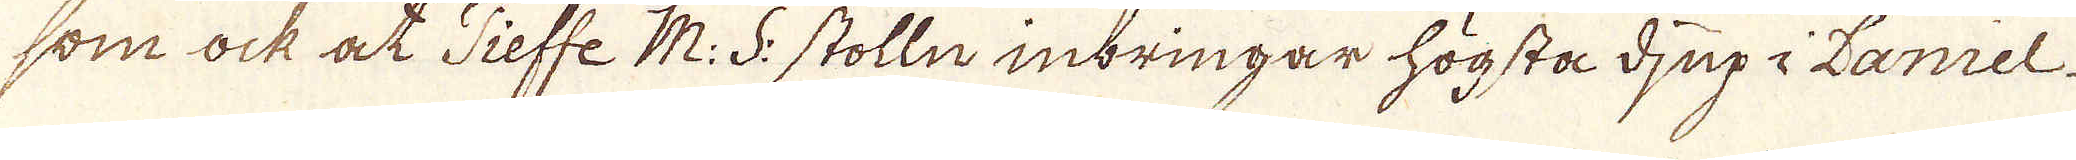som ock at Tieffe M: S: stolln inbringar högsta djup i Lamel.
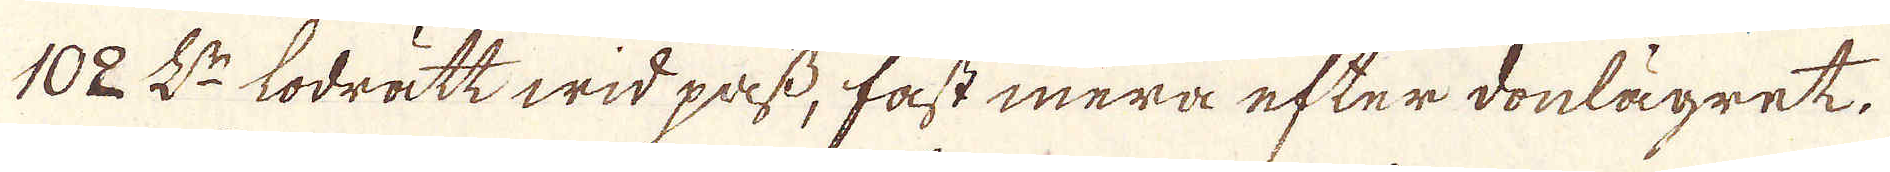102 L:r lodrätt wid pass, fast mera efter donlägret.
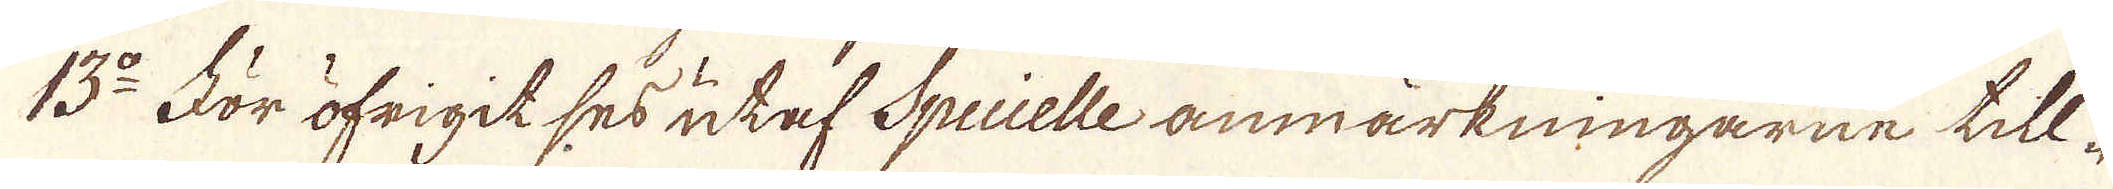13:o För öfrigit ses utaf Specielle anmärkningarne till-
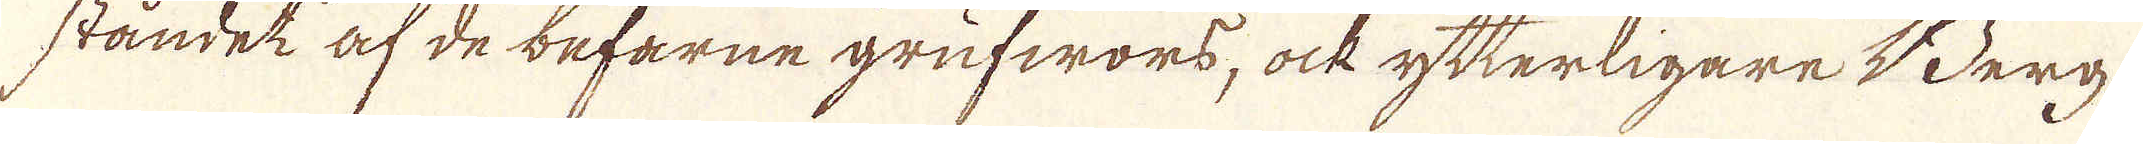ståndet af de befarne grufwors, ock ytterligare Berg-
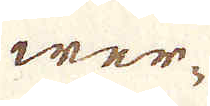wer-
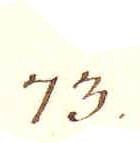73.
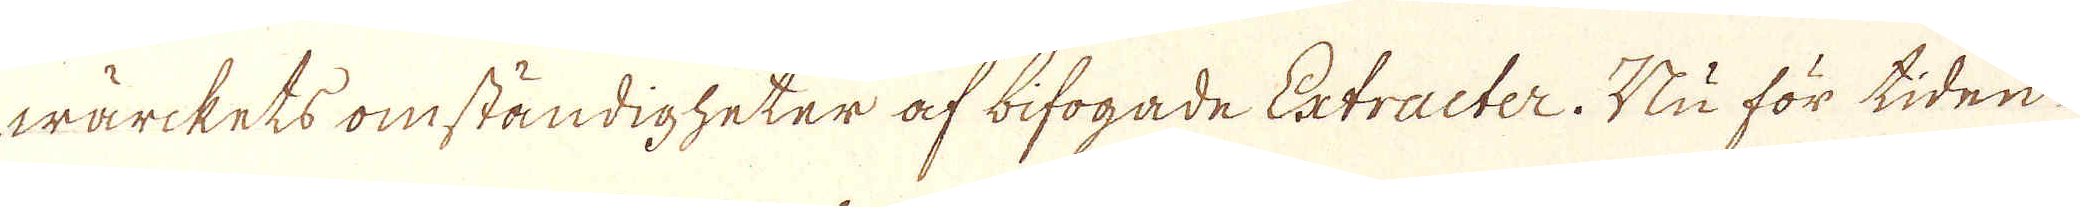wärkets omständigheter af bifogade Extracter. Nu för tiden
